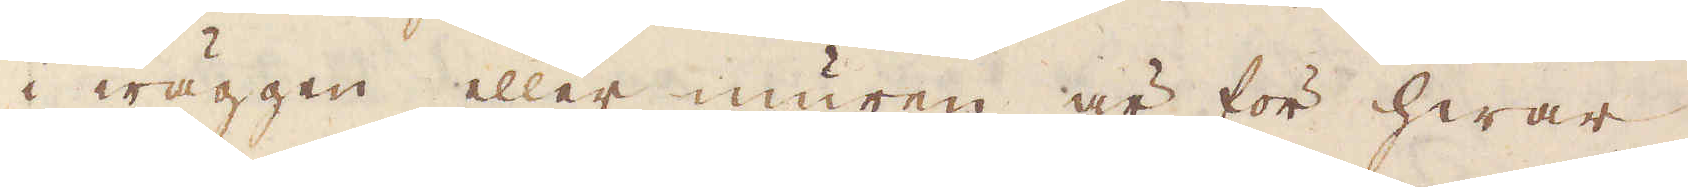i wäggen eller muren är för hwar
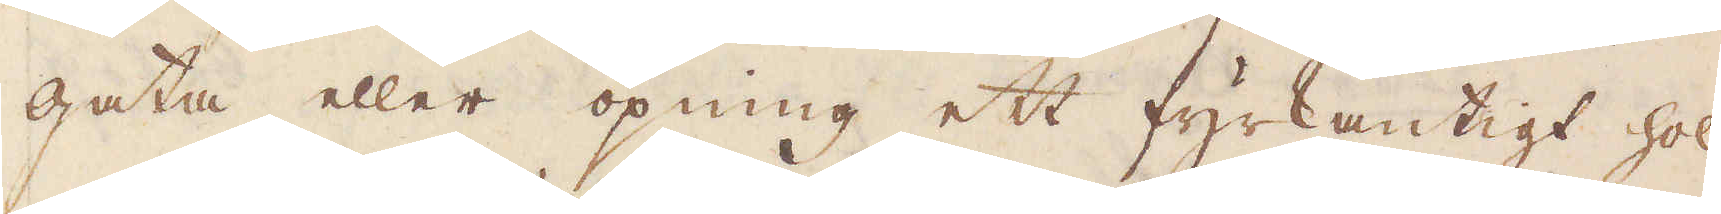gata eller öpning ett fyrkantigt hol
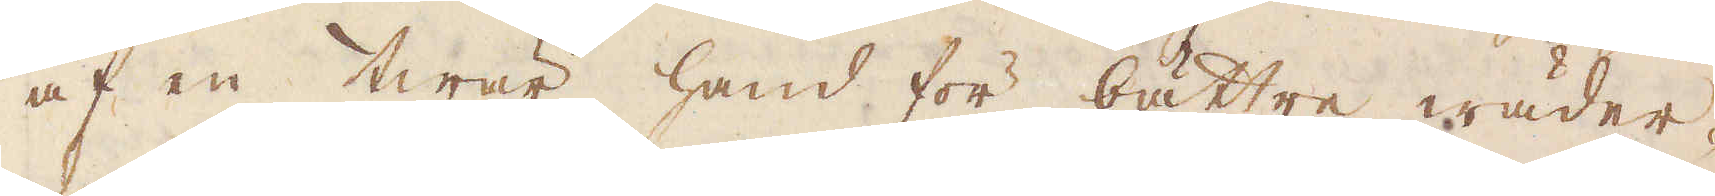af en twär hand för bättre wäder-
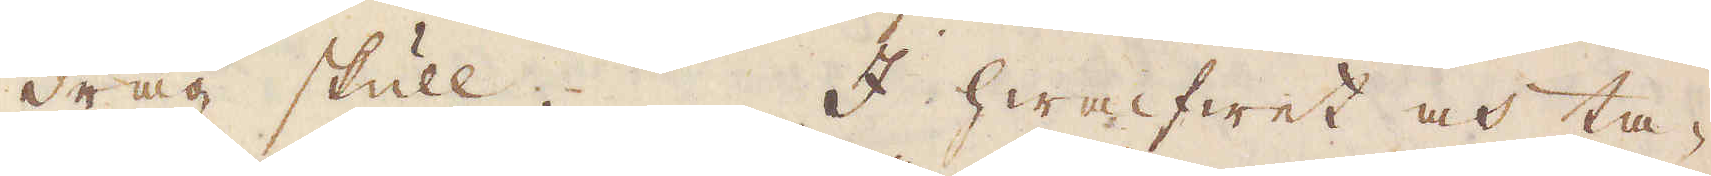drag skull. I hwalfwet och ta-
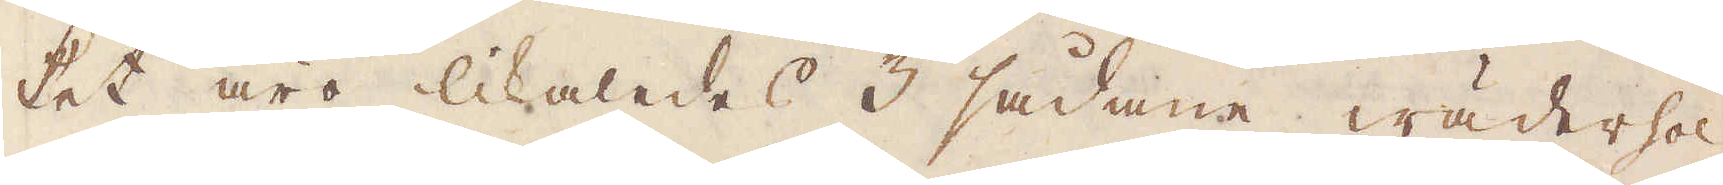ket äro likaledes 3 sådane wäderhol,
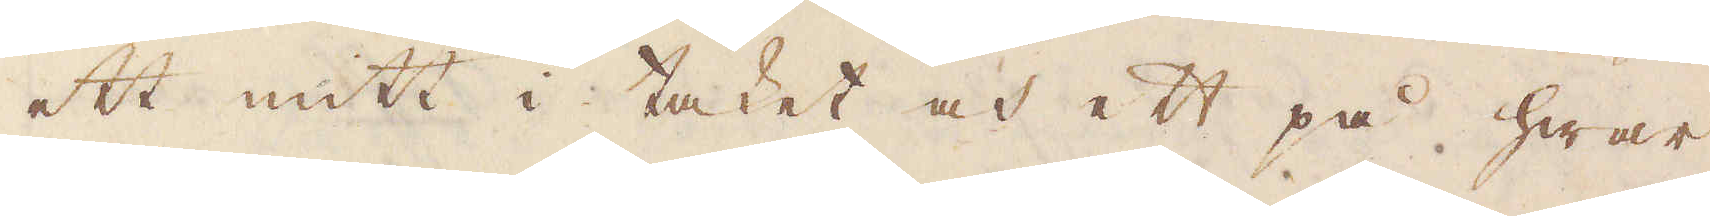ett mitt i taket och ett på hwar
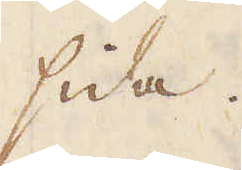sida.
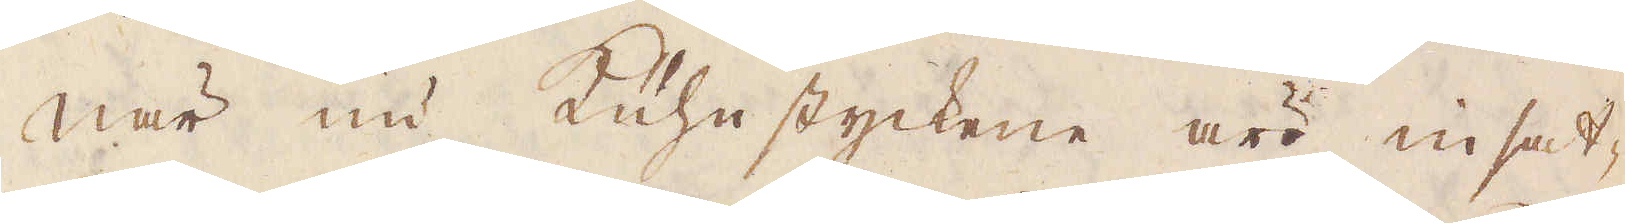När nu Kühnstyckenne äro insat-
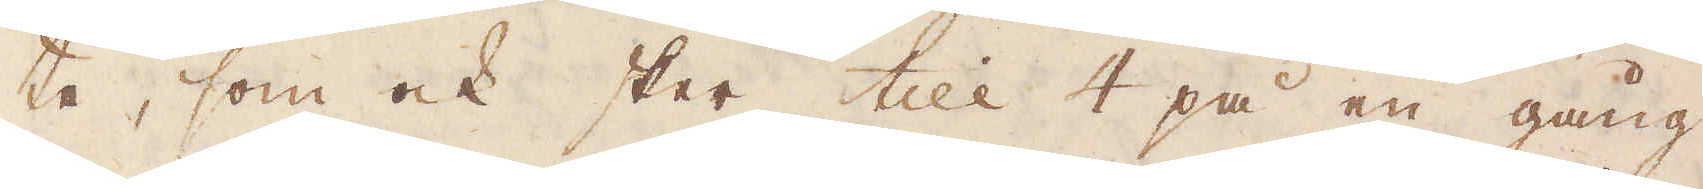te, som ock sker till 4 på en gång,
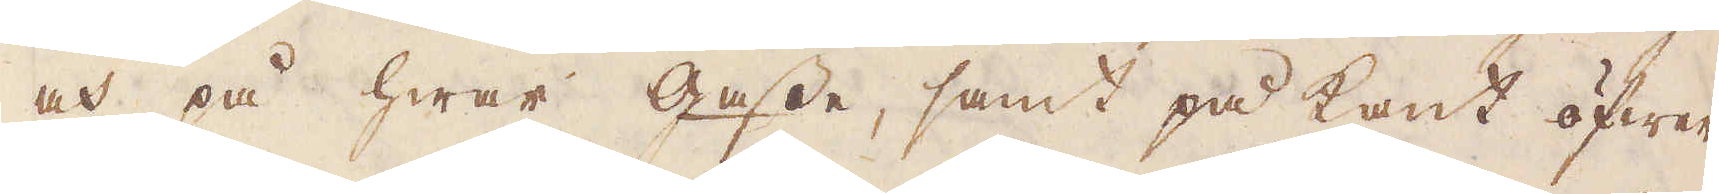och på hwar Gasse, samt på kant öfwer
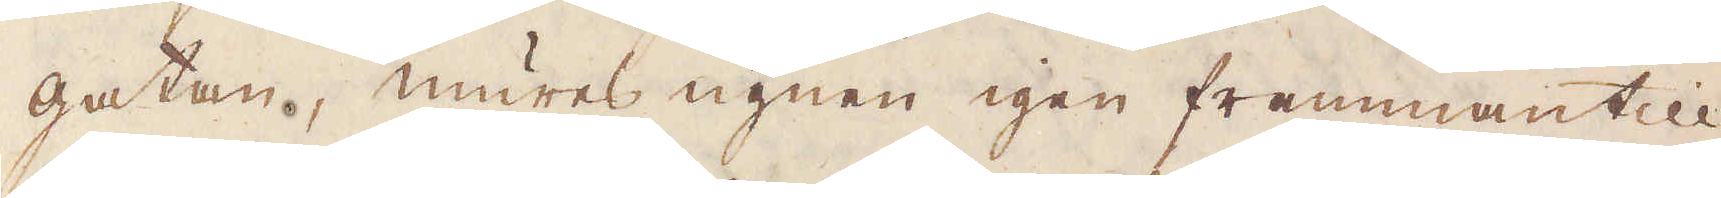gatan, mures ugnen igen frammantill
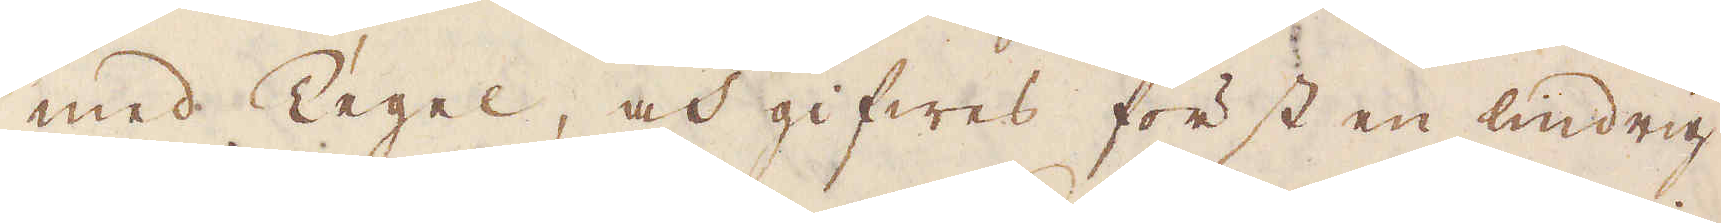med Tegel, och gifwes först en lindrig
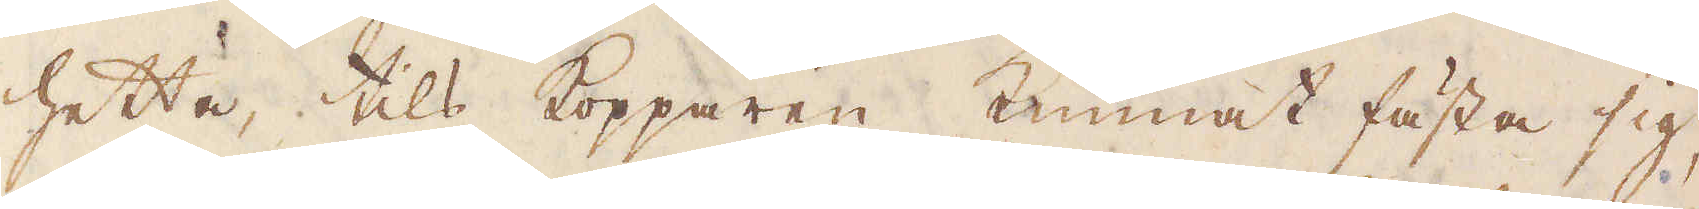hetta tills kopparen kunnat fästa sig,
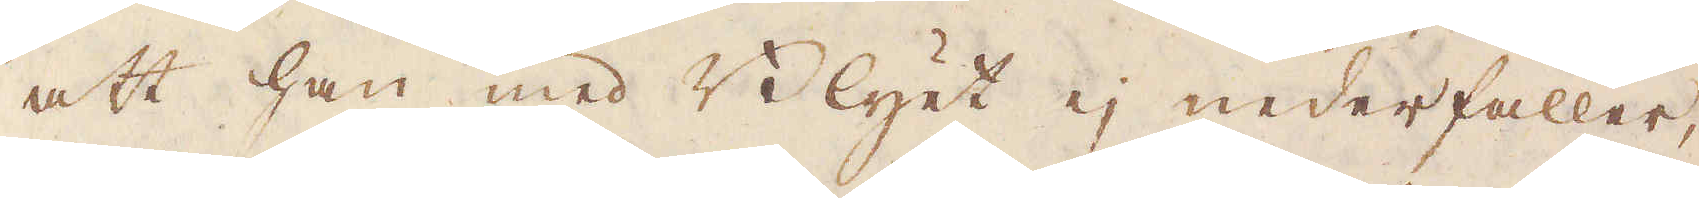att han med Blyet ej nederfaller,
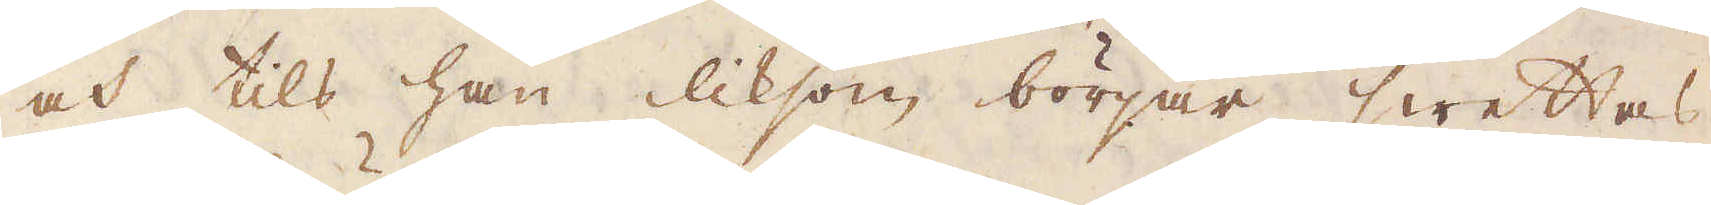och tils han liksom börjar swettas,
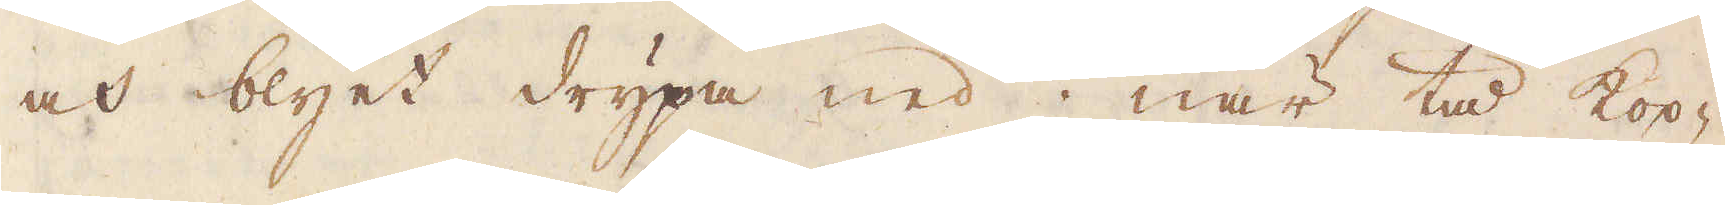och blyet drypa ned; när tå kop-
